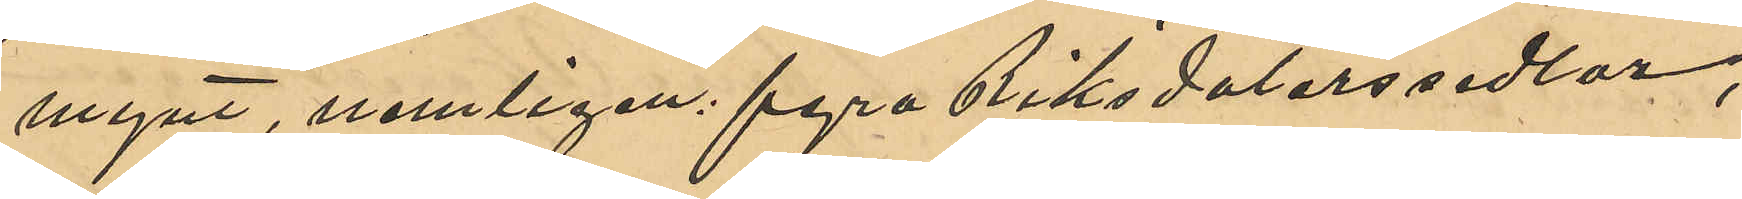mynt, nemligen fyra Riksdalerssedlar,
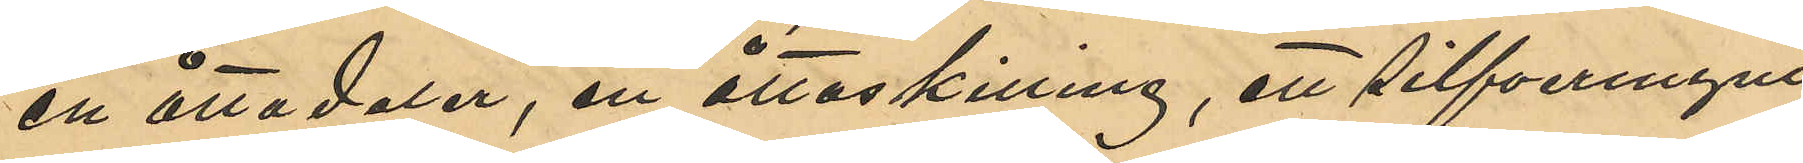en åttadaler, en åttaskilling, ett silfvermynt
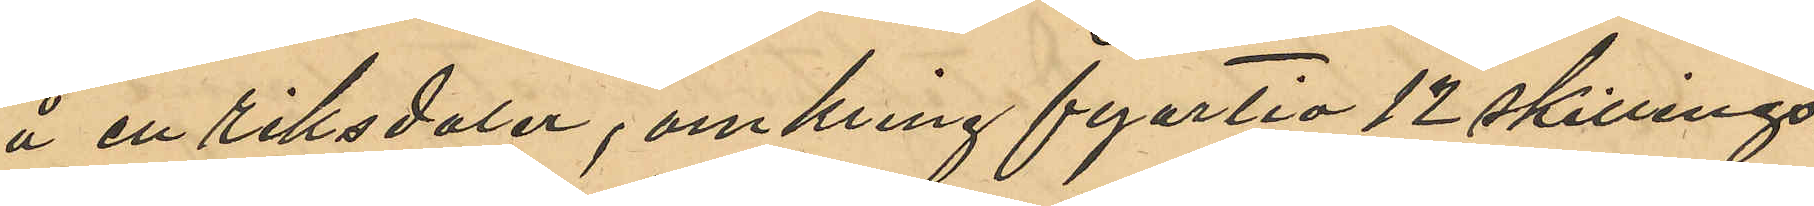å en Riksdaler, omkring fyertio 12 skillings¬
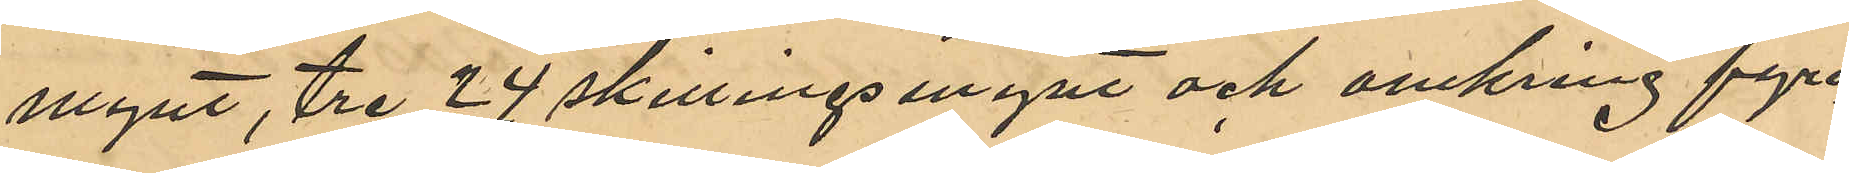mynt, tre 24 skillingsmynt och omkring fyra¬
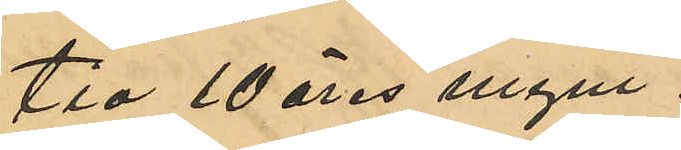tio 10 öres mynt.
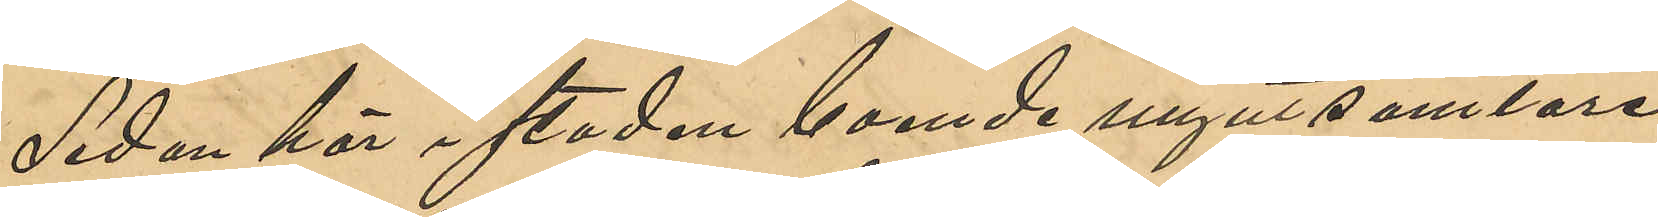Sedan här i staden boende myntsamlare
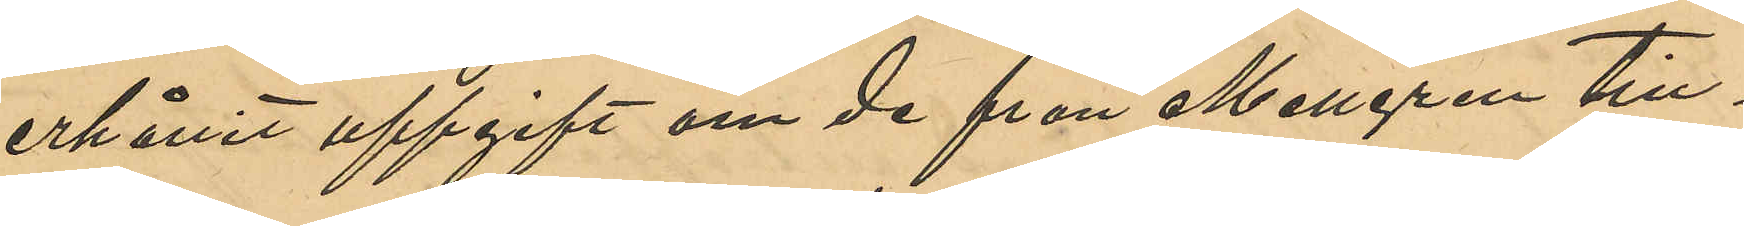erhållit uppgift om de från Mellgren till¬
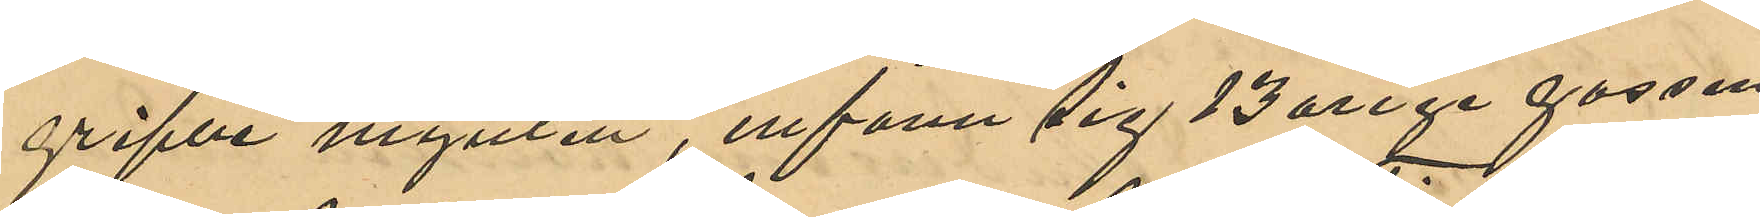gripne mynten, infann sig 13 årige gossen
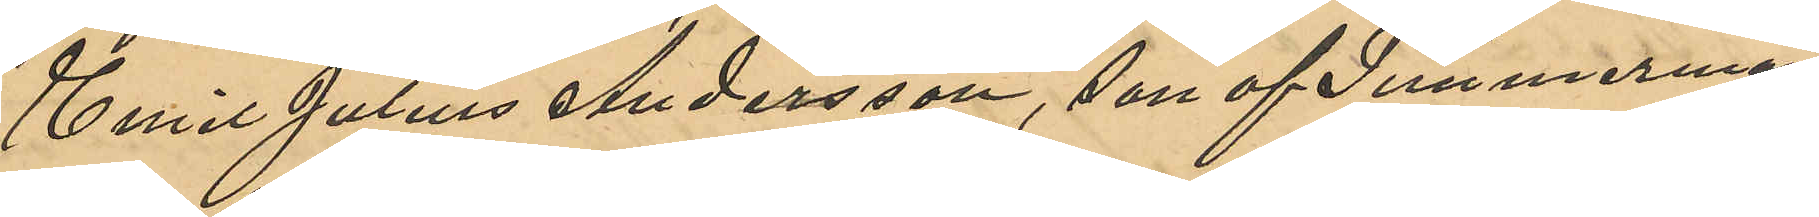Emil Julius Andersson, son af Timmerman¬
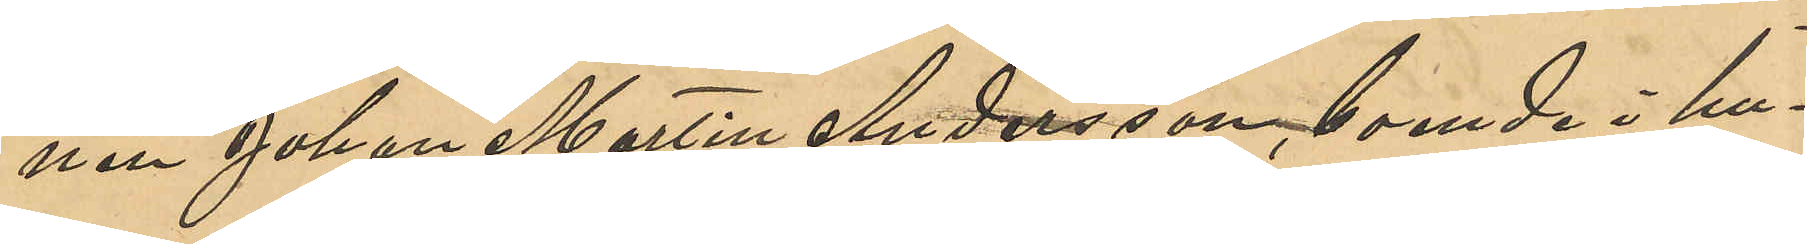nen Johan Martin Andersson, boende i hu¬
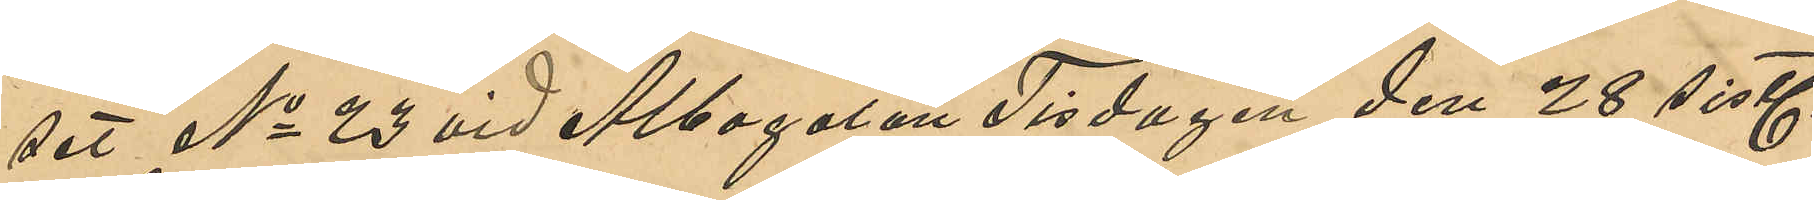set No 23 vid Albogatan Tisdagen den 28 sistl.
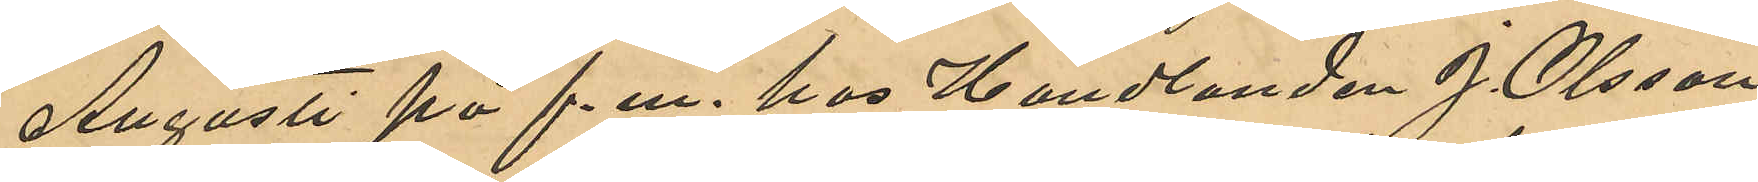Augusti på f. m. hos Handlanden J. Olsson
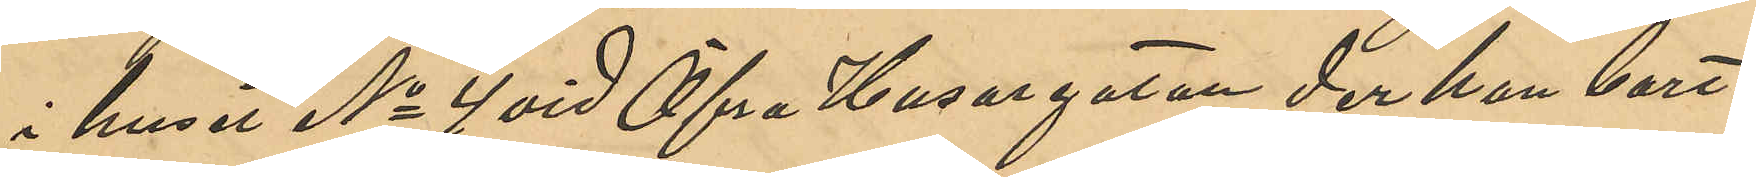i huset No 4 vid Öfra Husargatan der han bort¬
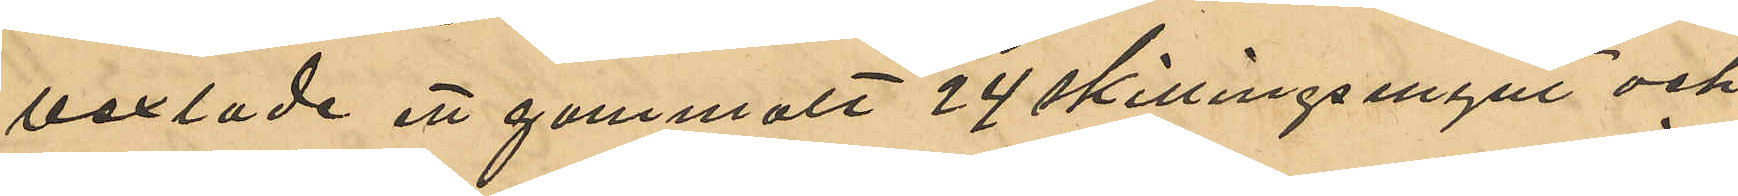vexlade ett gammalt 24 skillingsmynt och
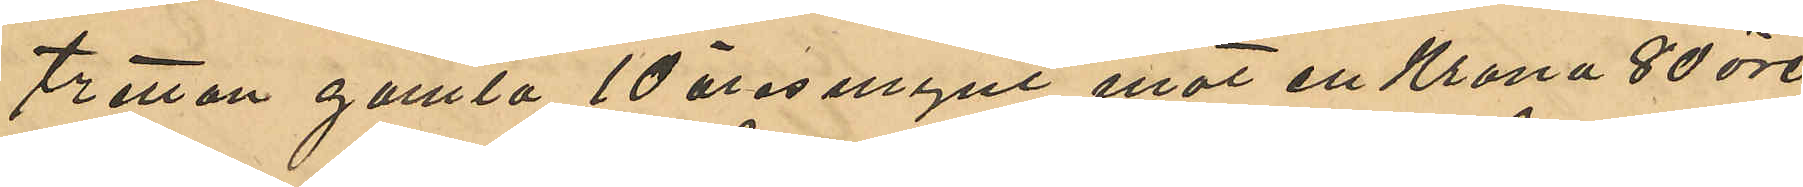tretton gamla 10 öresmynt mot 1 Krona 80 öre.
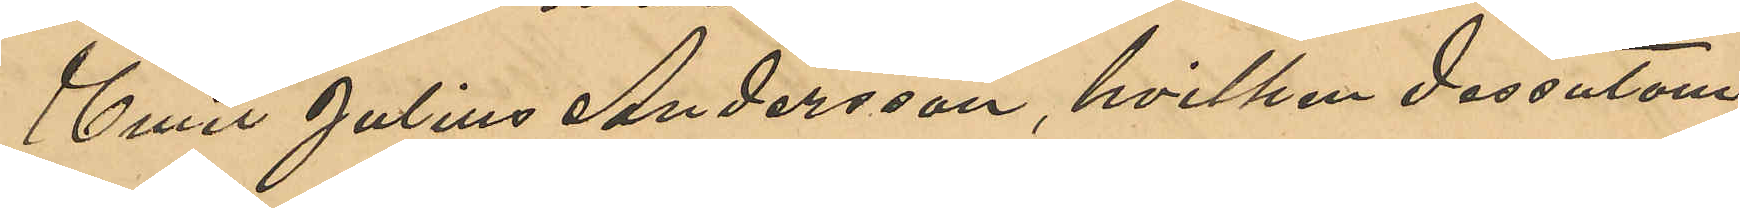Emil Julius Andersson, hvilken dessutom
